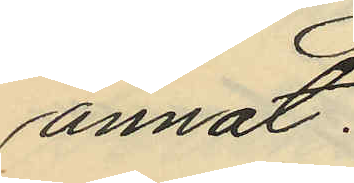annat:
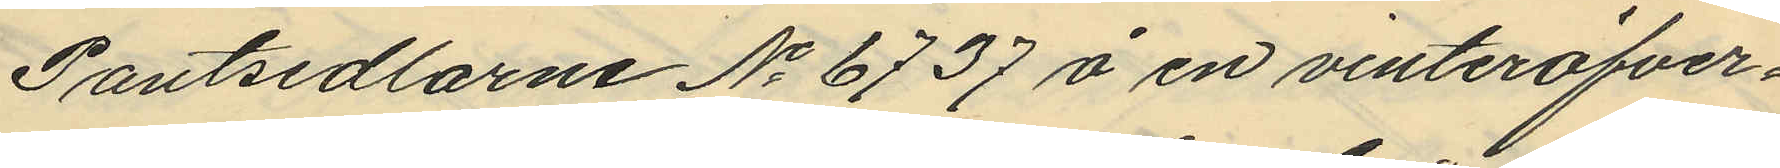Pantsedlarne No 6737 å en vinteröfver¬
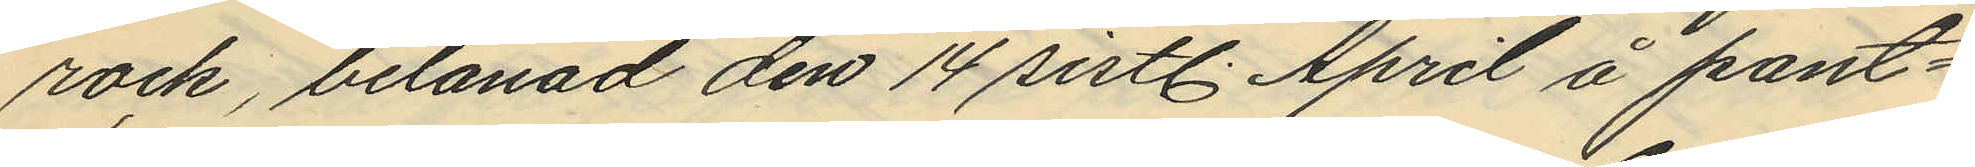rock, belånad den 14 sistl. April å pant¬
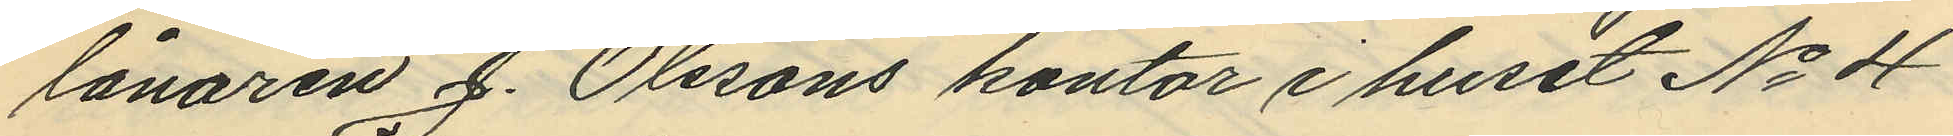lånaren J. Olssons kontor i huset No 4
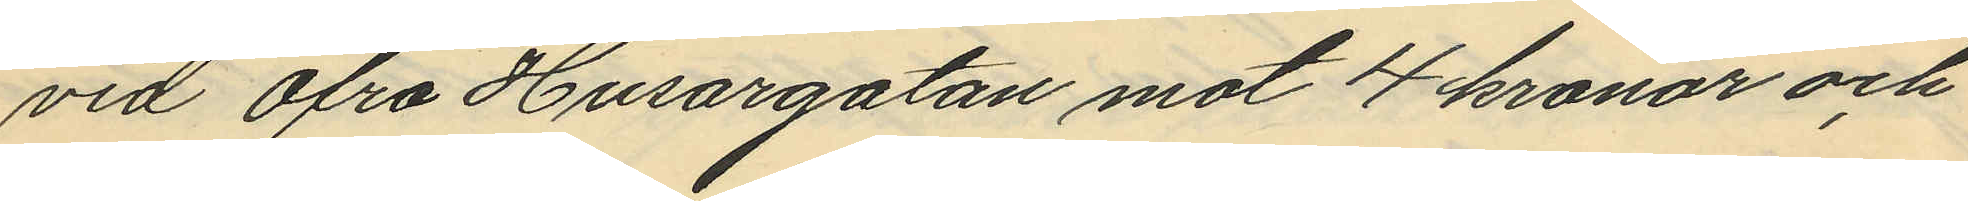vid Öfra Husargatan mot 4 kronor och
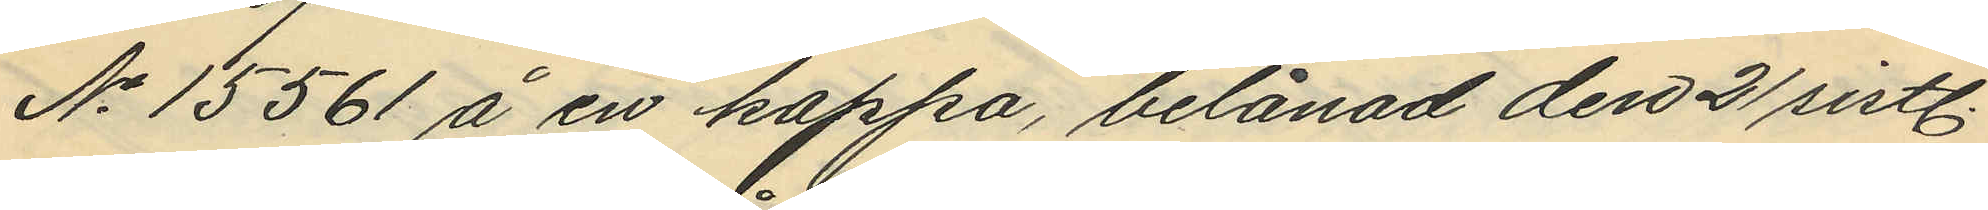No 15561 å en kappa, belånad den 21 sistl.
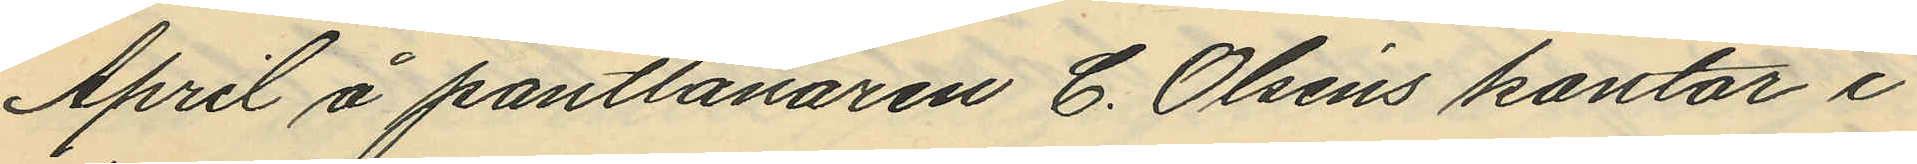April å pantlånaren C. Olséns kontor i
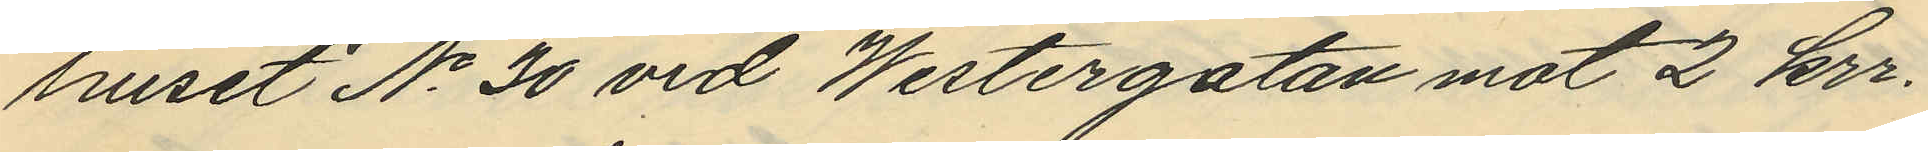huset No 30 vid Westergatan mot 2 kr.
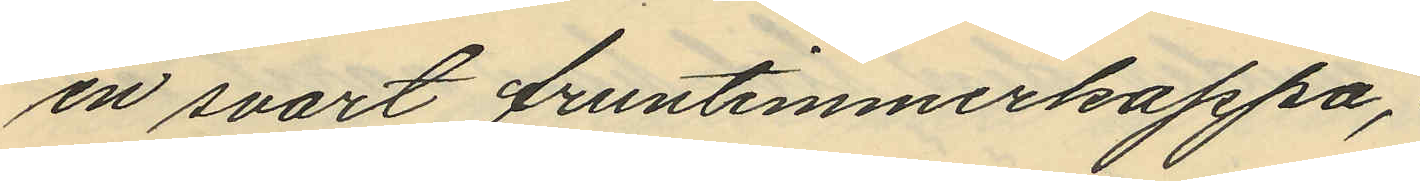en svart fruntimmerkappa,
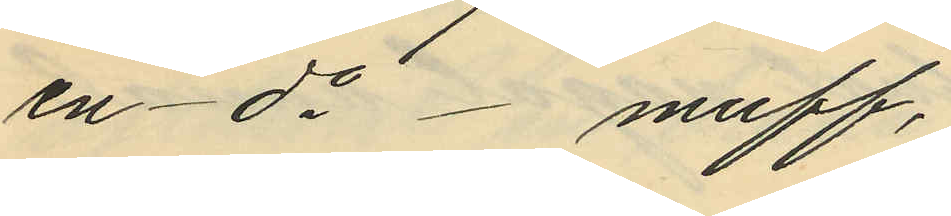en - do - muff,
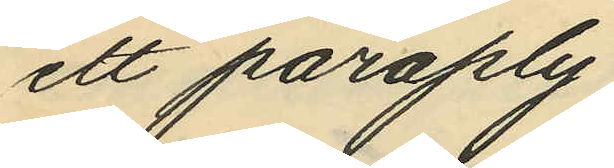ett parply,
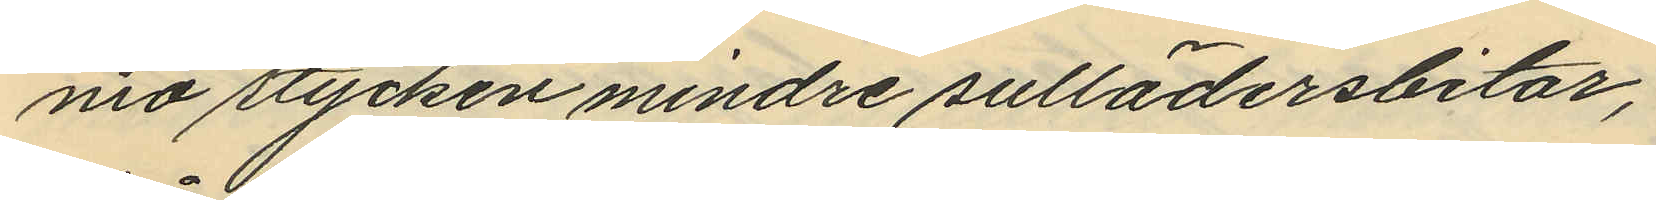nio stycken mindre sullädersbitar,
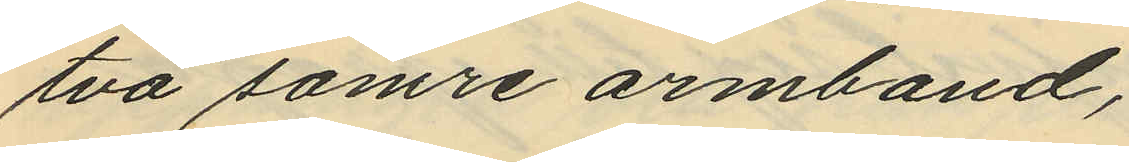två sämre armband,
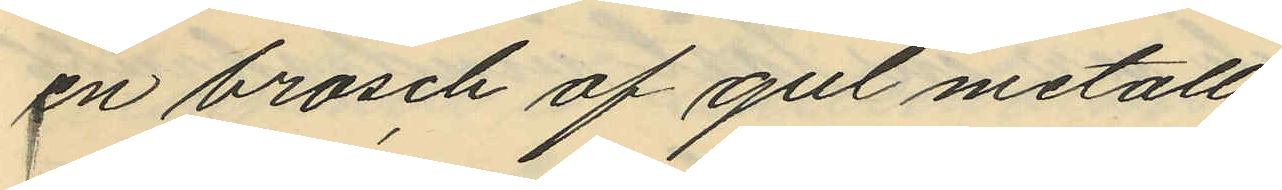en brosch af gul metall
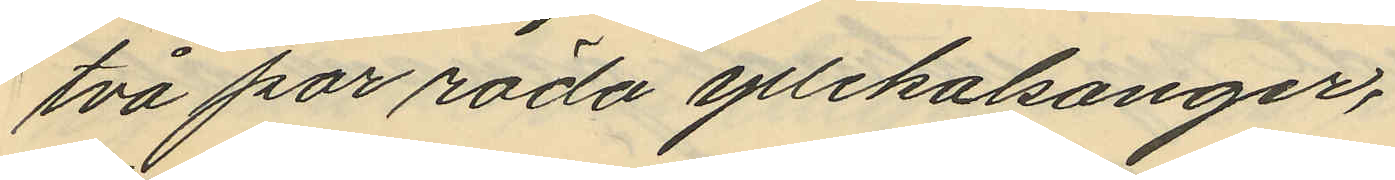två par röda yllekalsonger,
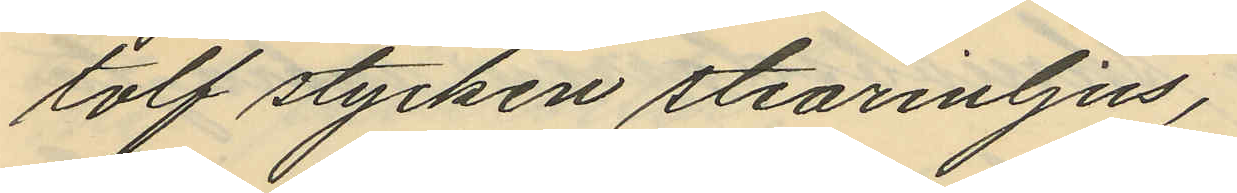tolf stycken stearinljus,
